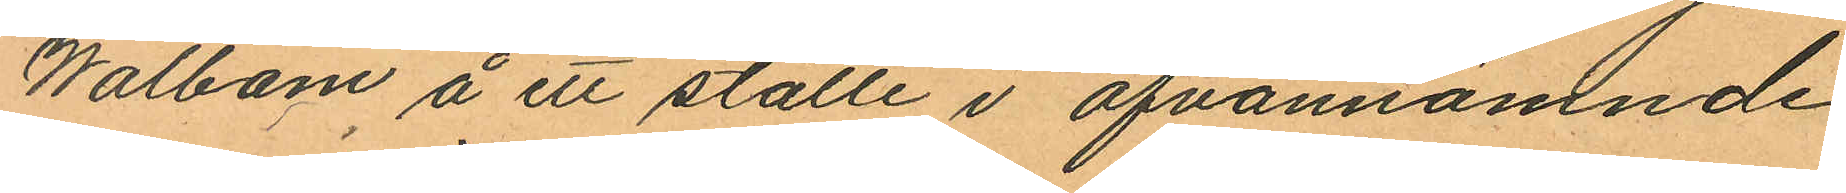Walbom å ett ställe i ofvannämnde
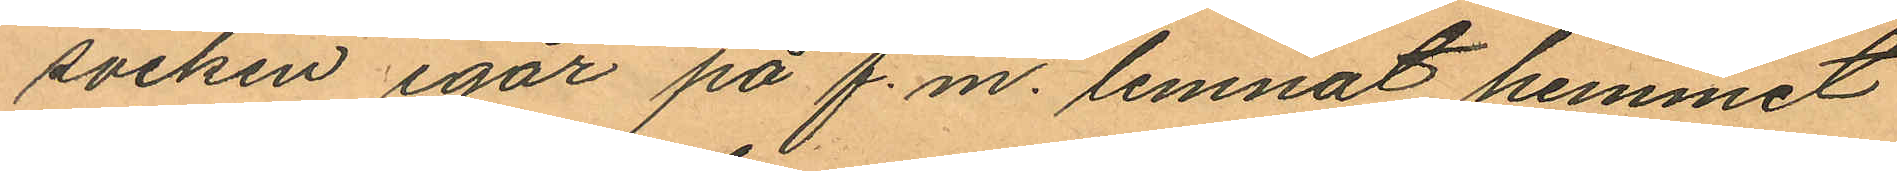socken igår på f.m. lemnat hemmet
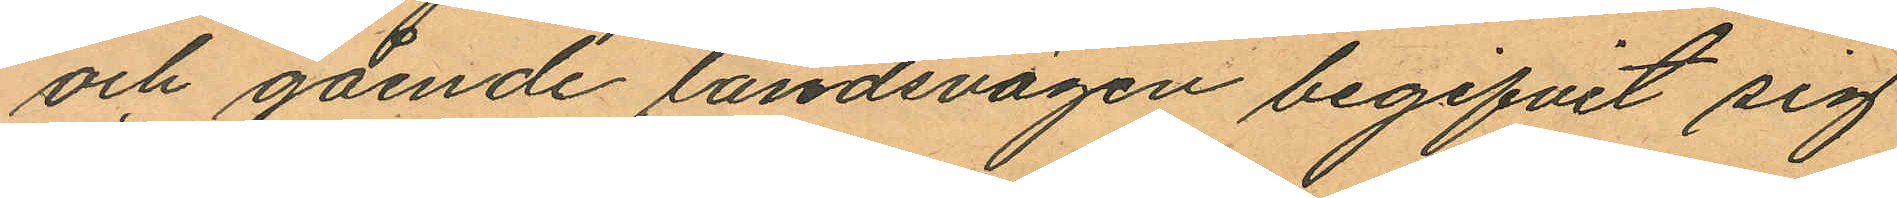och gående landsvägen begifvit sig
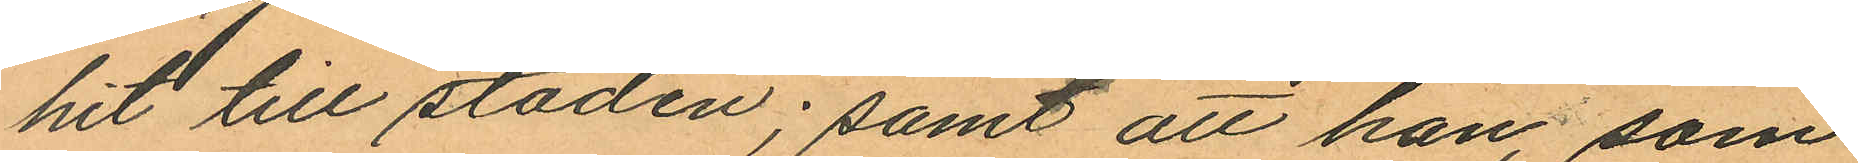hit till staden; samt att han, som
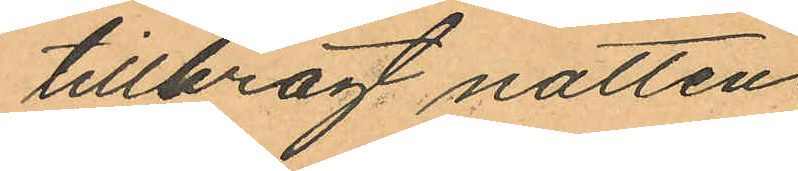tillbragt natten
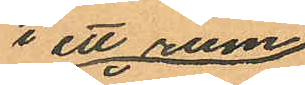i ett rum
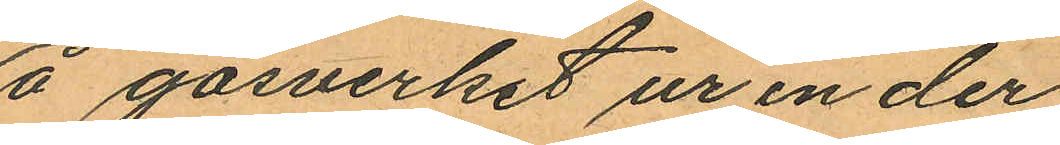å gasverket ur en der
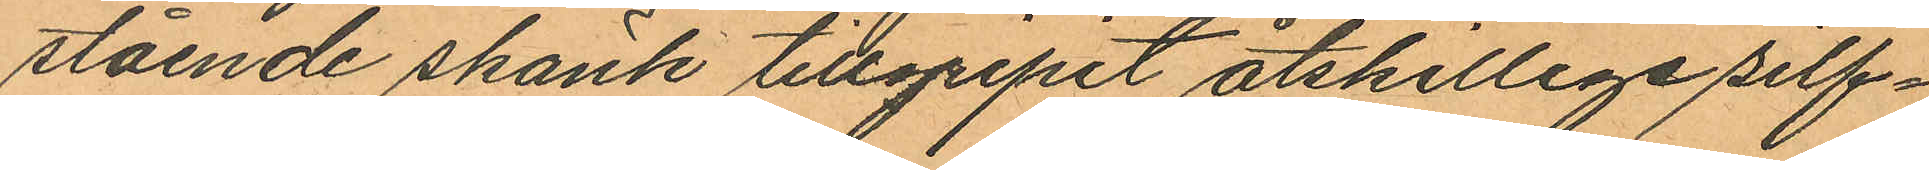stående skänk tillgripit åtskillige silf¬
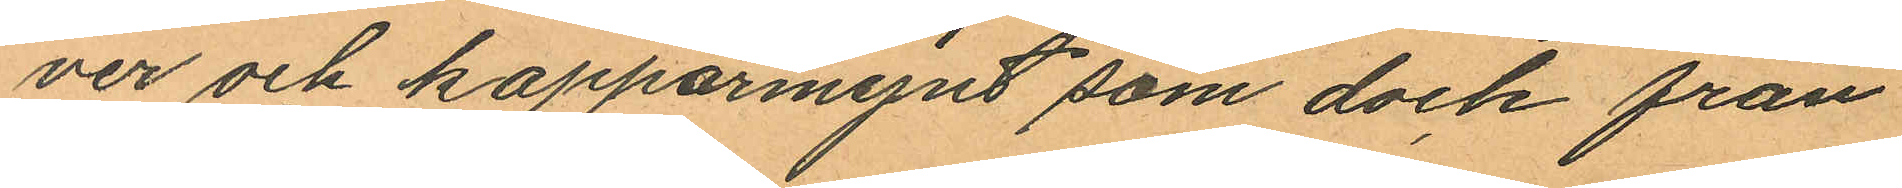ver och kopparmynt som dock från
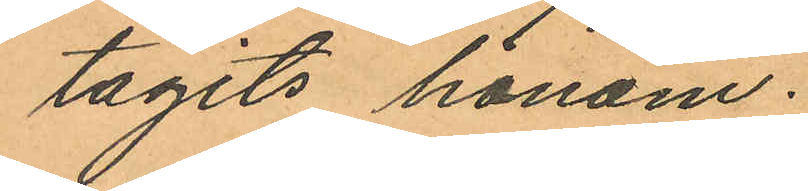tagits honom.
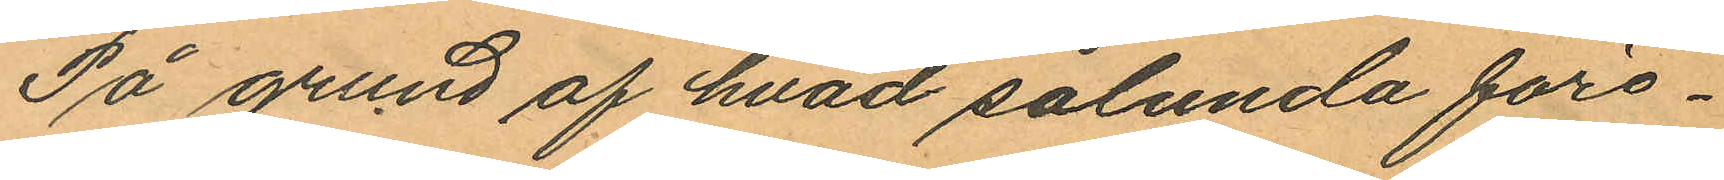På grund af hvad sålunda före¬
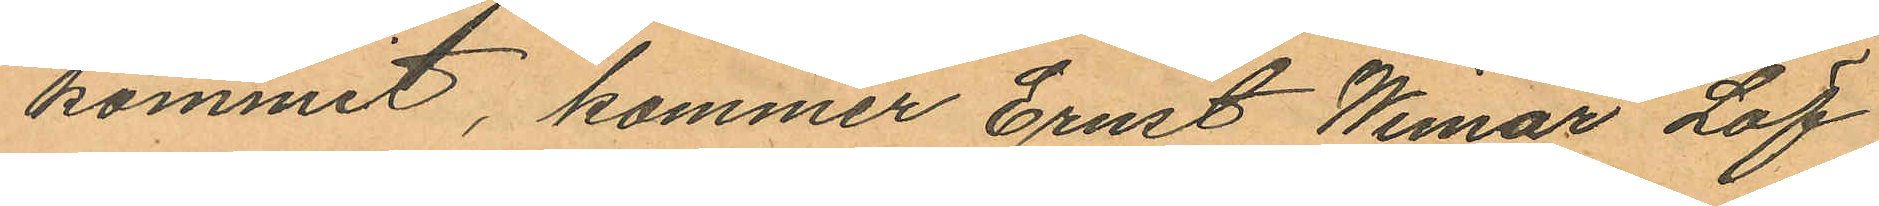kommit, kommer Ernst Wimar Löf
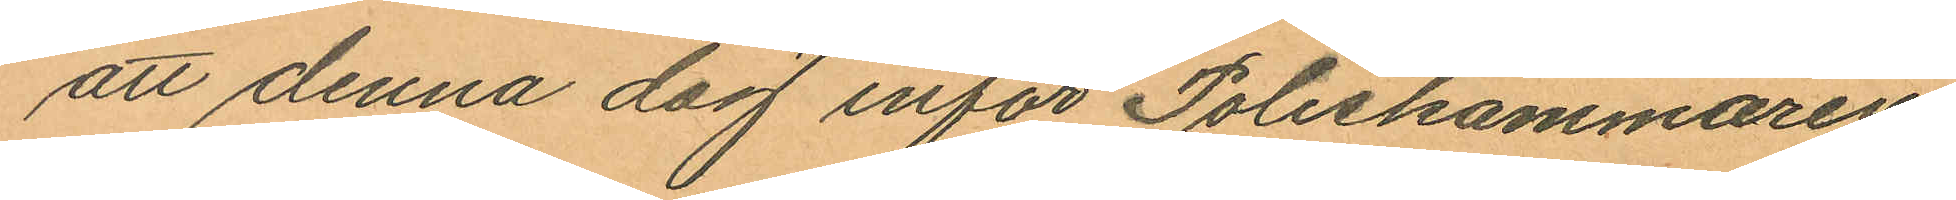att denna dag inför Poliskammaren
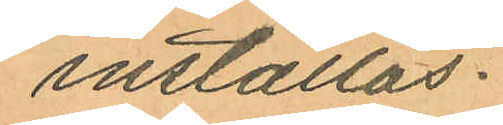inställas.
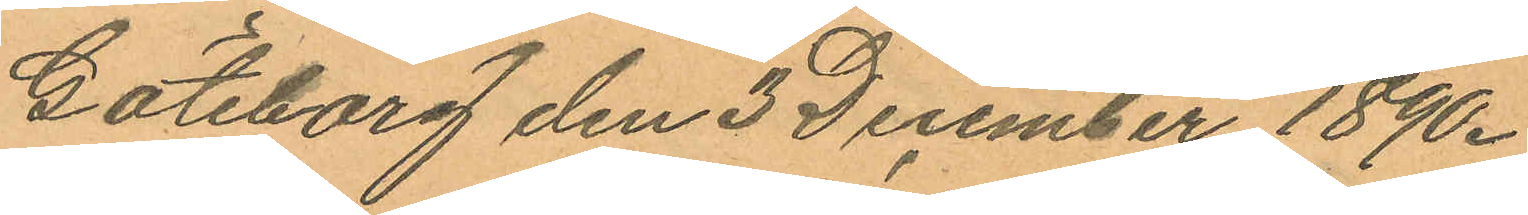Göteborg den 3 December 1890.
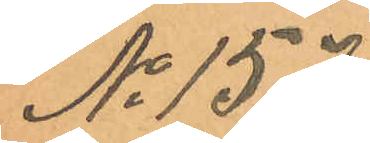No 157.
